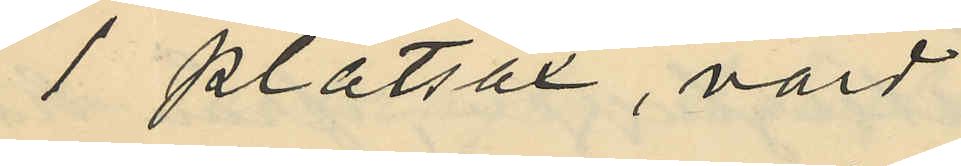1 plåtsax, värd
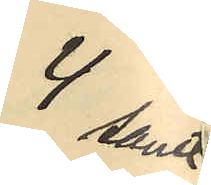4 samt
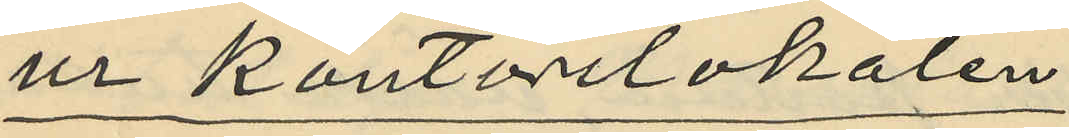ur kontorslokalen
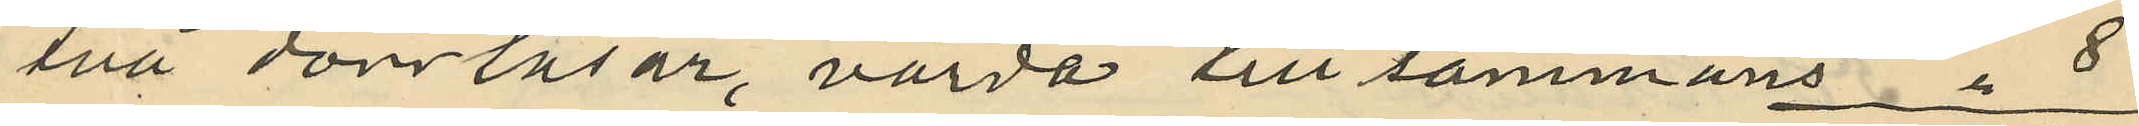två dörrlåsar, värda till sammans " 8
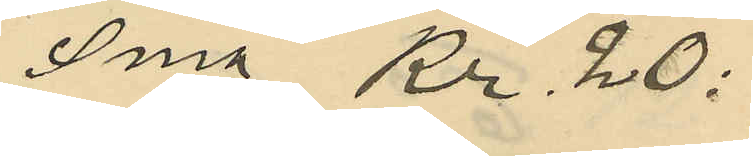Sma Kr. 20:
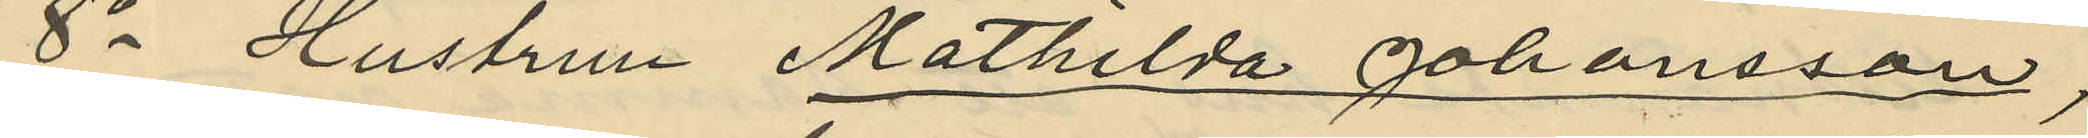8o Hustrun Mathilda Johansson,
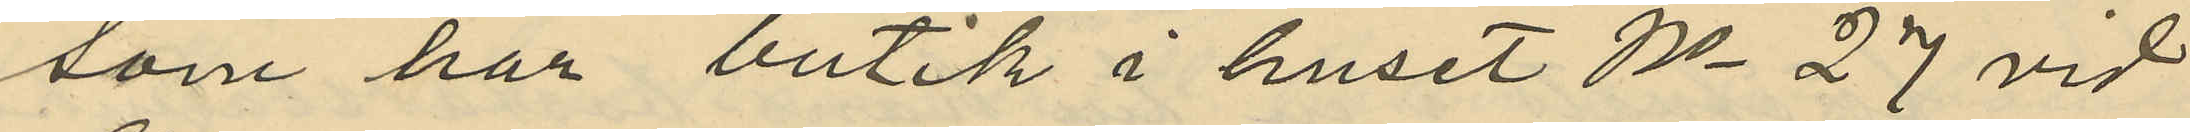som har butik i huset No 27 vid
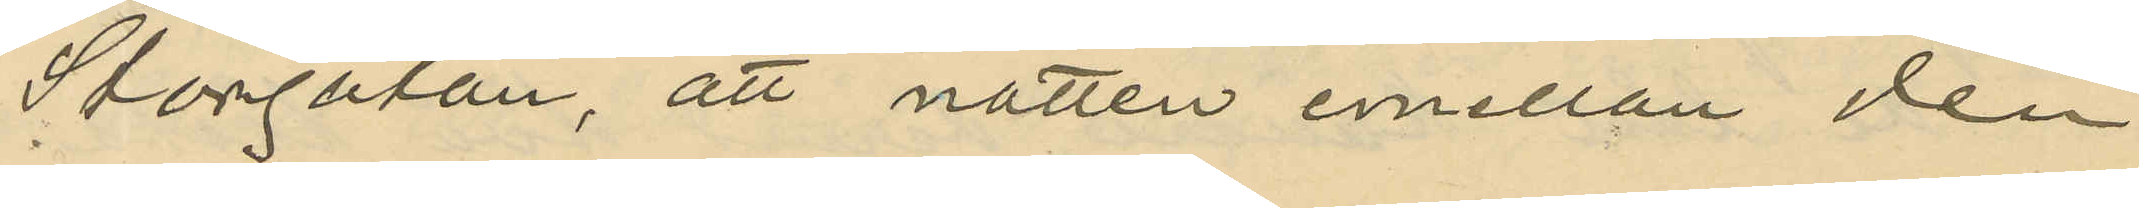Storgatan, att natten emellan den
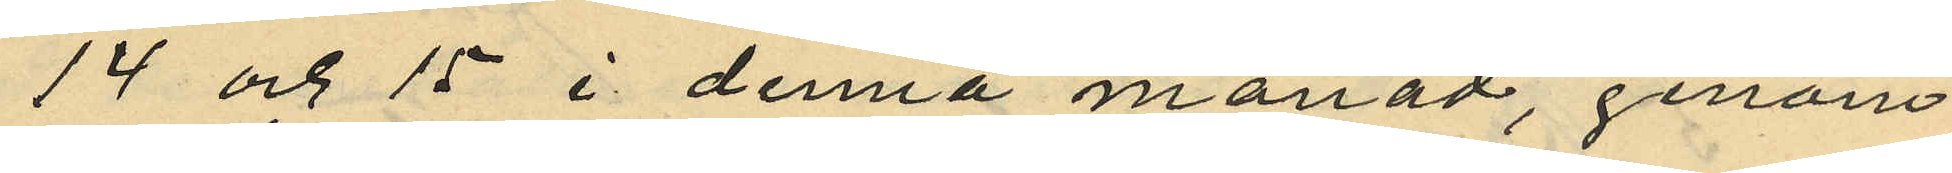14 och 15 i denna månad, genom
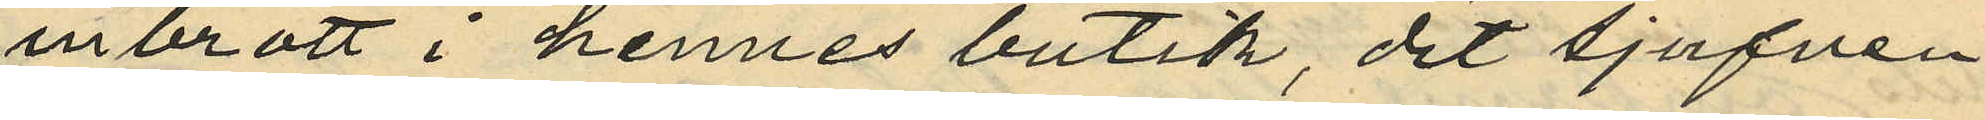inbrott i hennes butik, dit tjufven
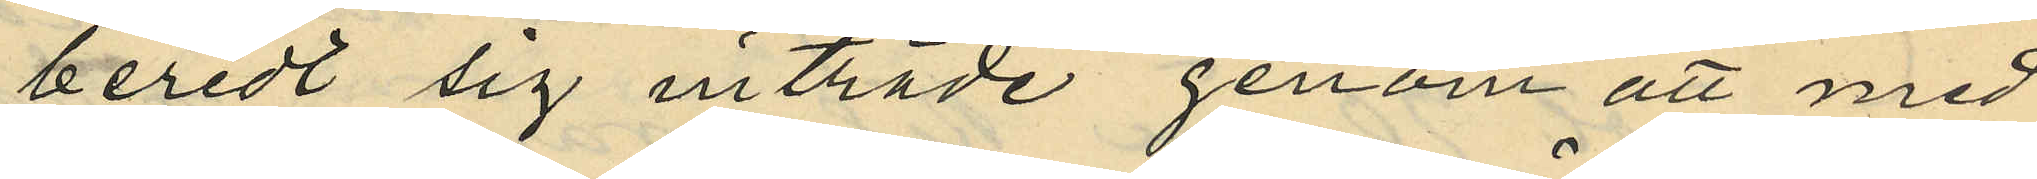beredt sig inträde genom att med
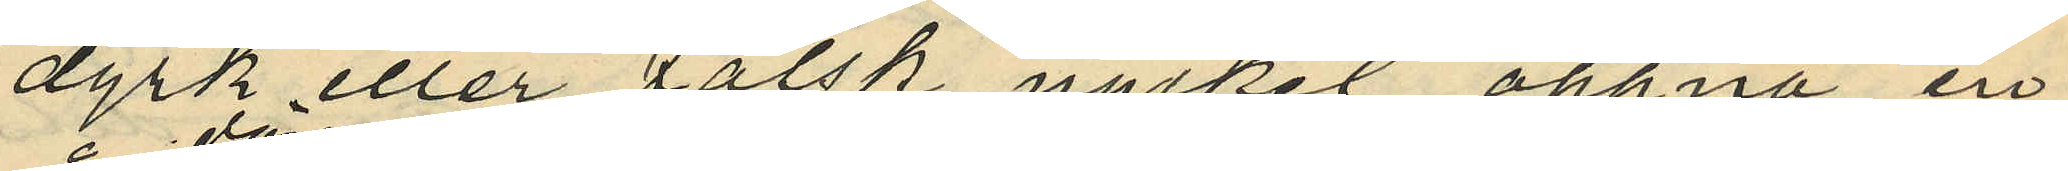dyrk eller falsk nyckel öppna en
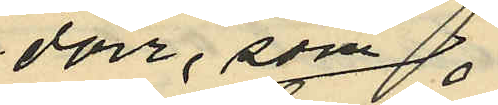dörr, som
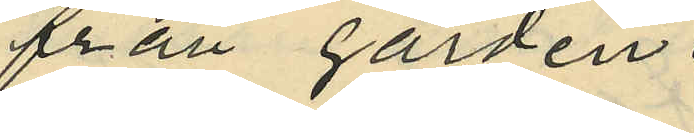från gården
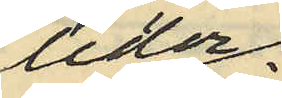leder
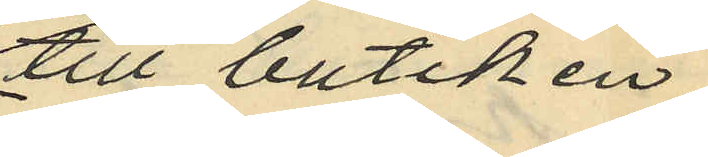till butiken
